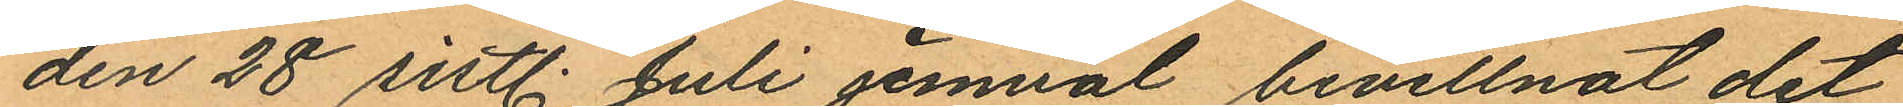den 28 sistl. Juli jemväl bevittnat det
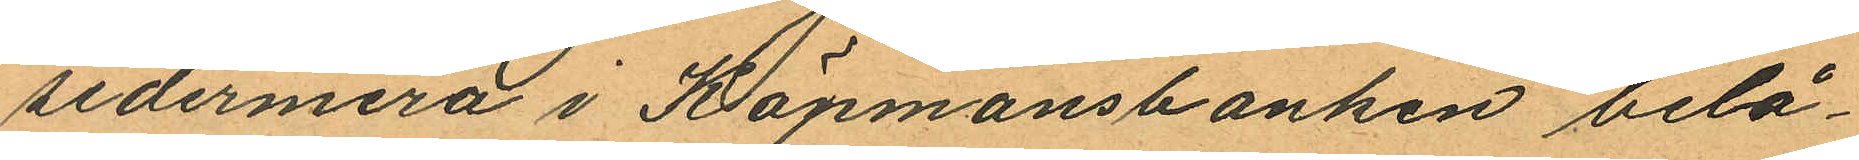sedermera i Köpmansbanken belå¬
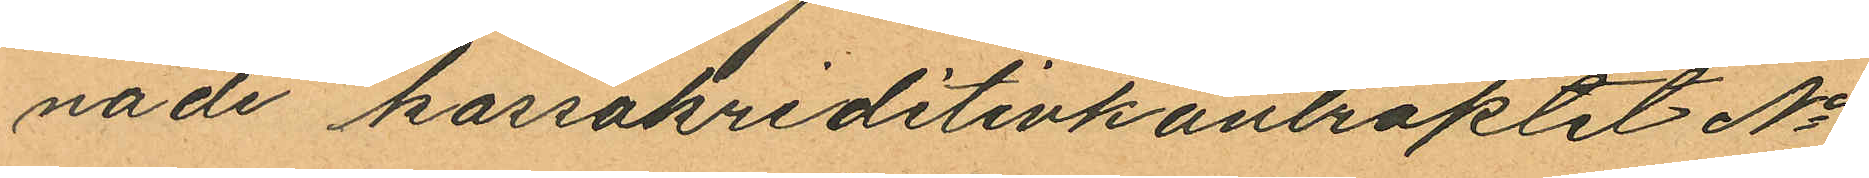nade kassakreditivkontraktet No
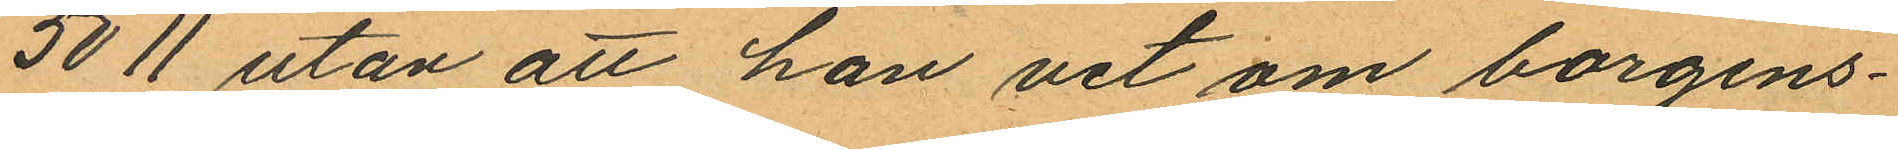5011 utan att han vet om borgens¬
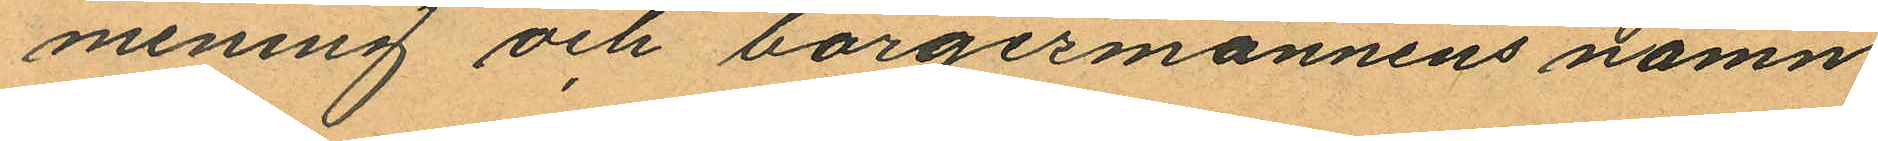mening och borgesmännens namn
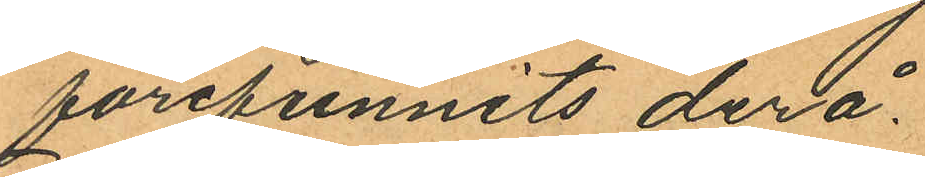förefunnits derå.
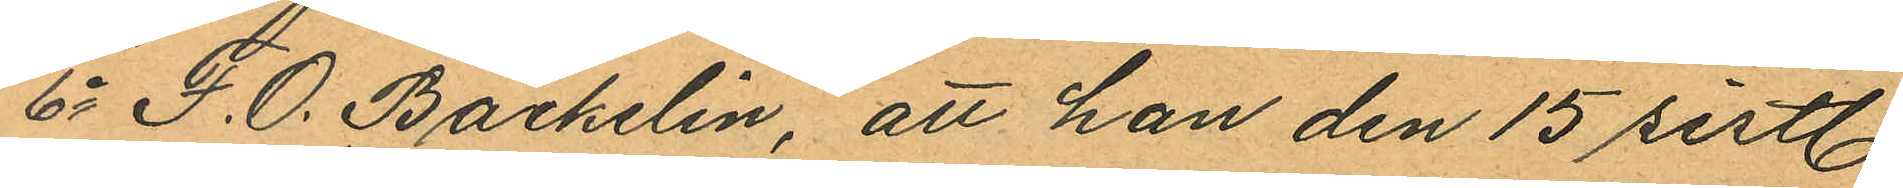6o F. O. Backelin, att han den 15 sistl.
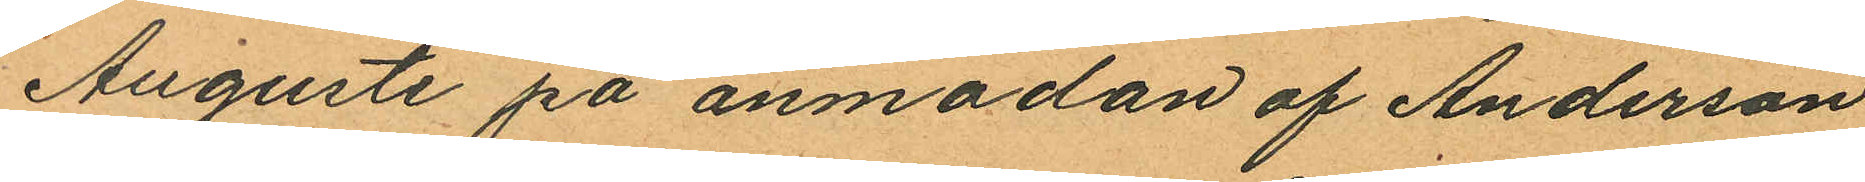Augusti på anmodan af Anderson
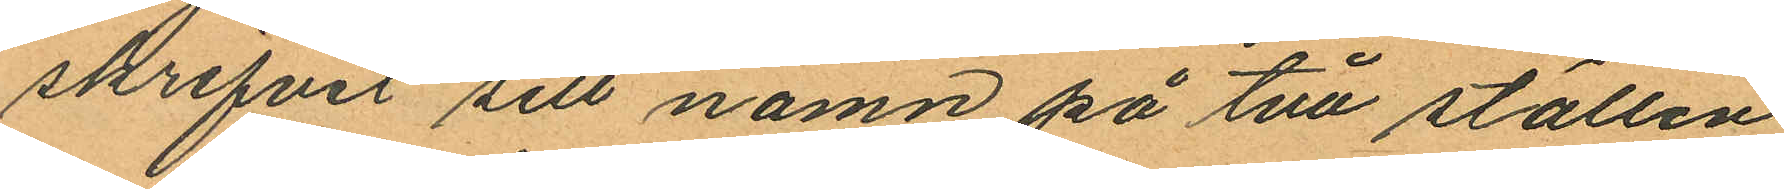skrifvit sitt namn på två ställen
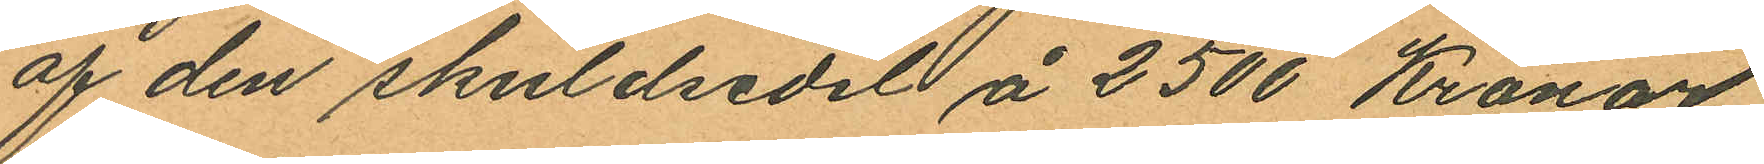af den skuldsedel å 2500 Kronor
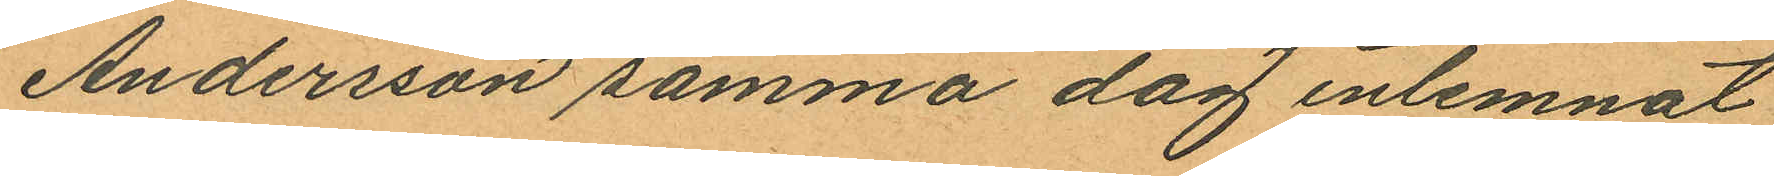Andersson samma dag inlemnat
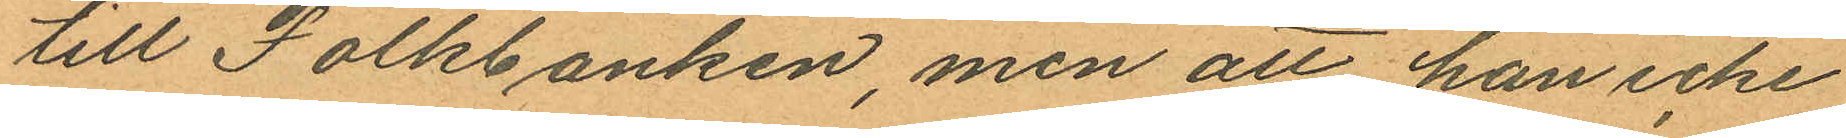till Folkbanken, men att han icke
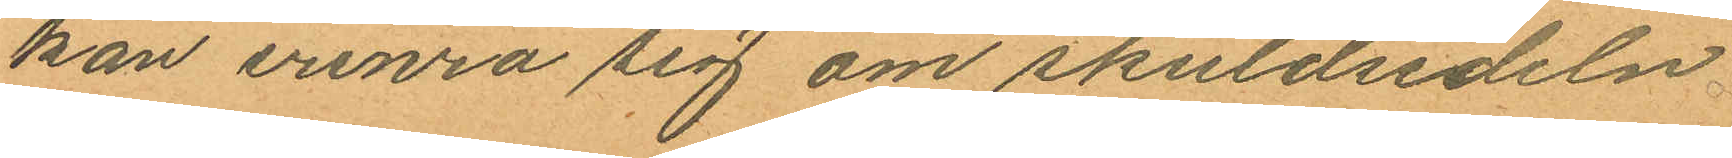kan erinra sig om skuldsedeln
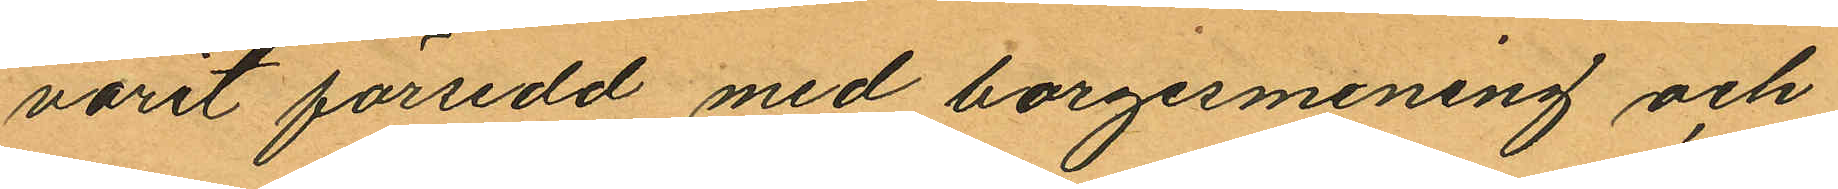varit försedd med borgesmening och
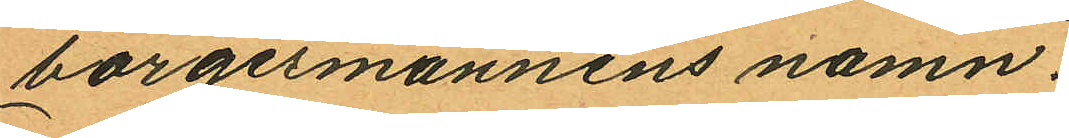borgesmannens namn.
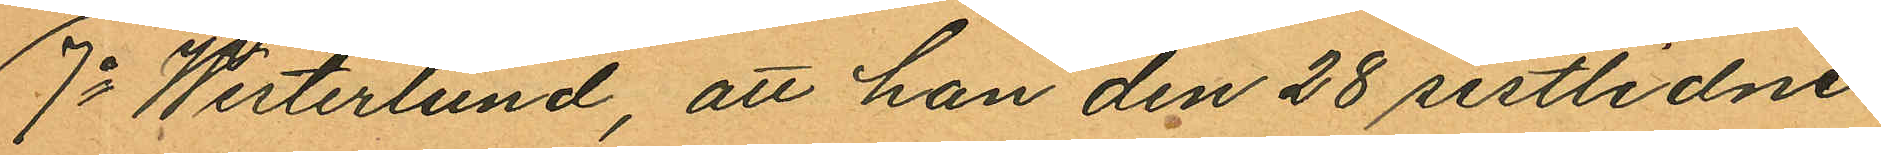7o Westerlund, att han den 28 sistlidne
